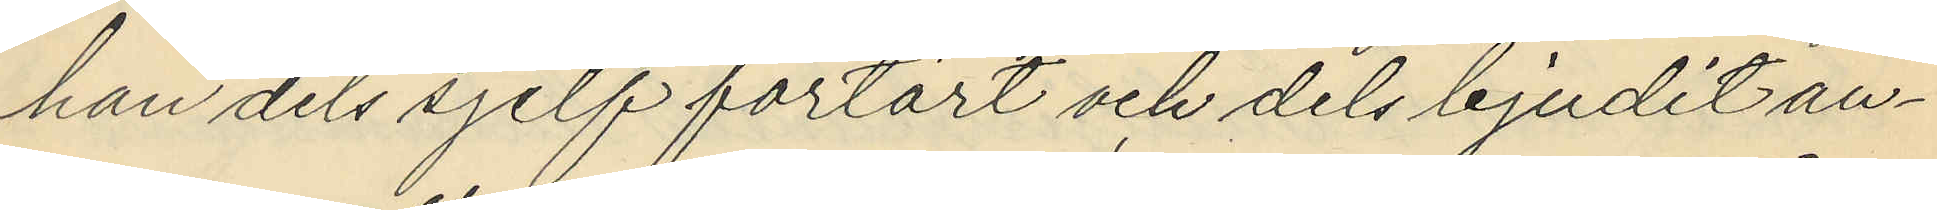han dels sjelf förtärt och dels bjudit an¬
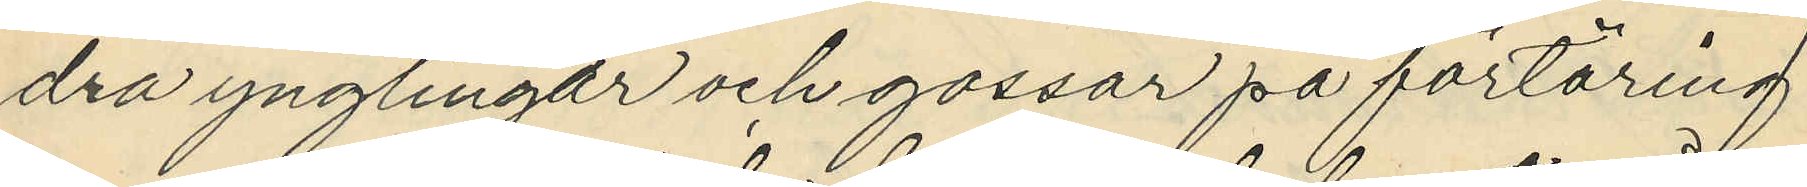dra ynglingar och gossar på förtäring
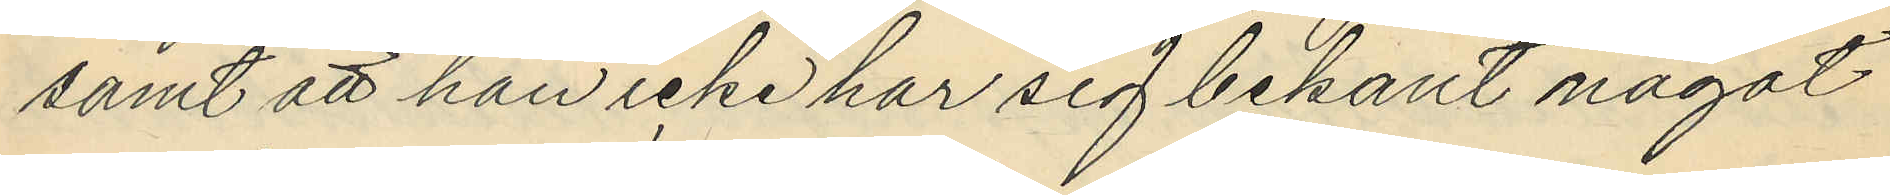samt att han icke har sig bekant något
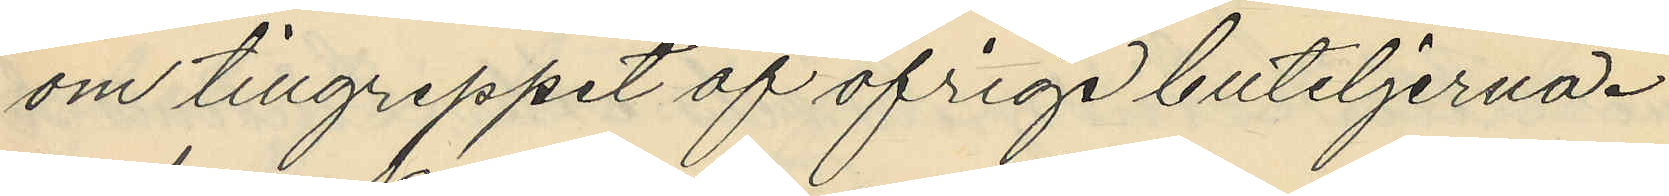om tillgreppet af öfriga buteljerna.
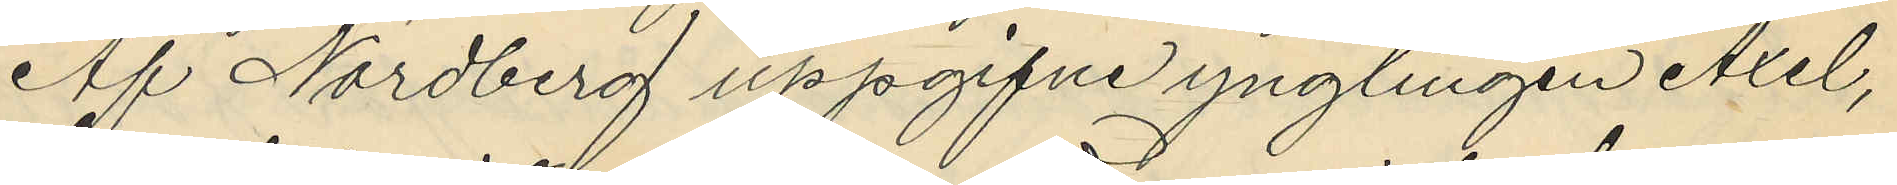Af Nordberg uppgifne ynglingen Axel,
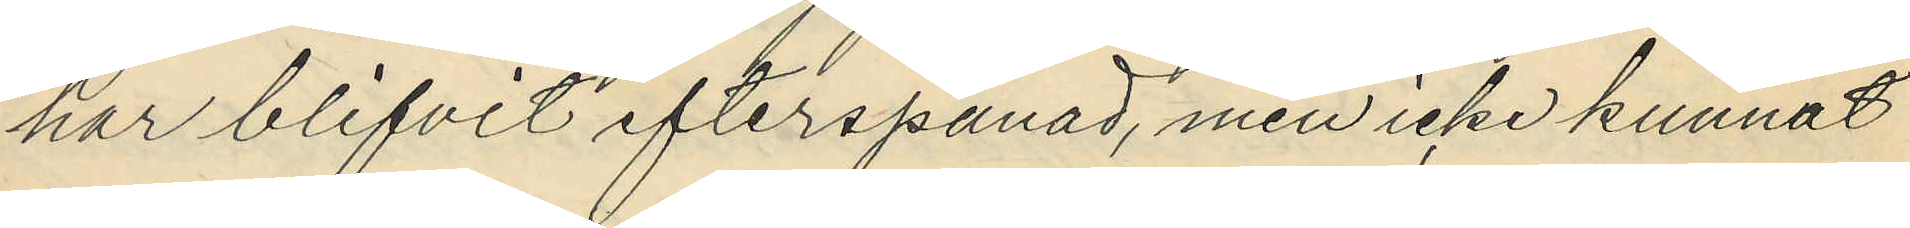har blifvit efterspanad, men icke kunnat
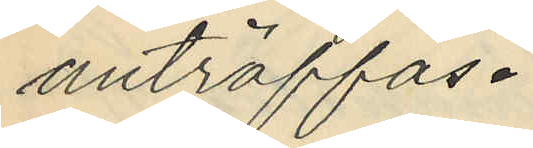anträffas.
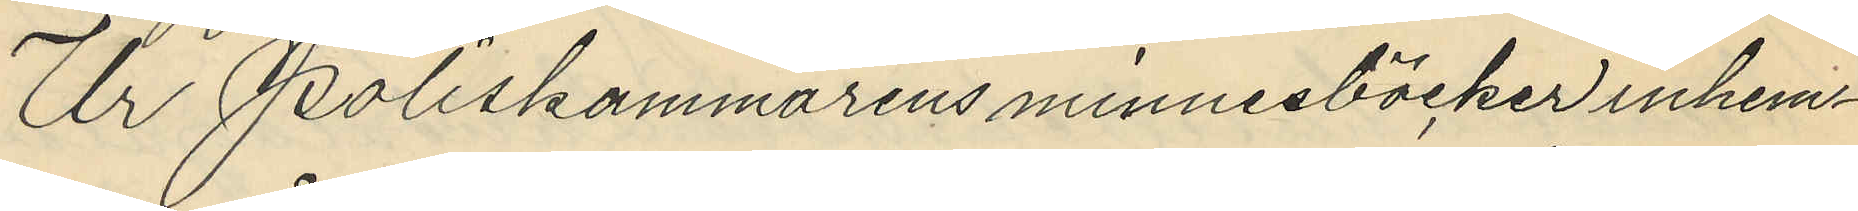Ur Poliskammarens minnesböcker inhem¬
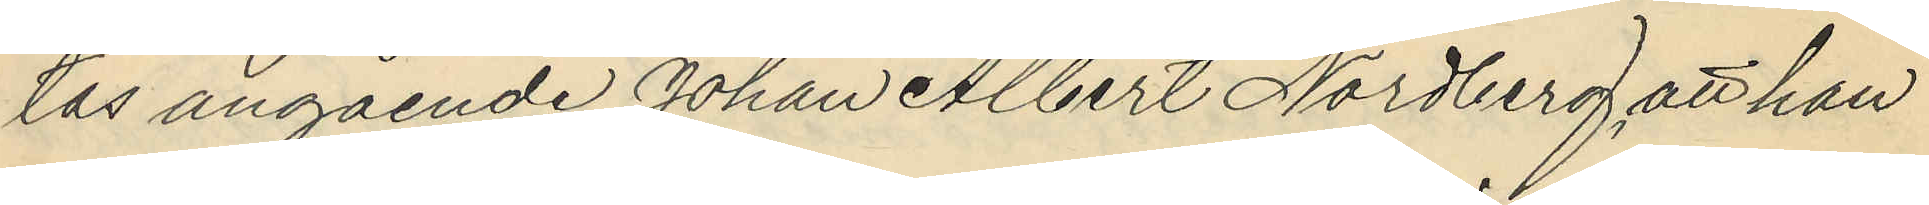tas angående Johan Albert Nordberg att han
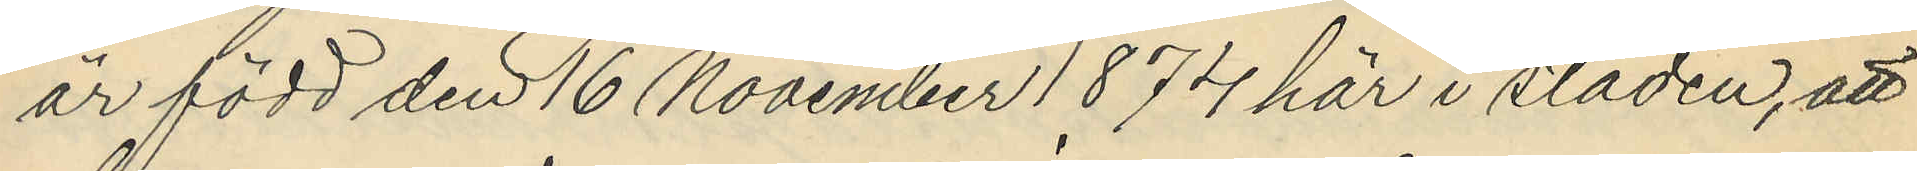är född den 16 November 1874 här i staden, att
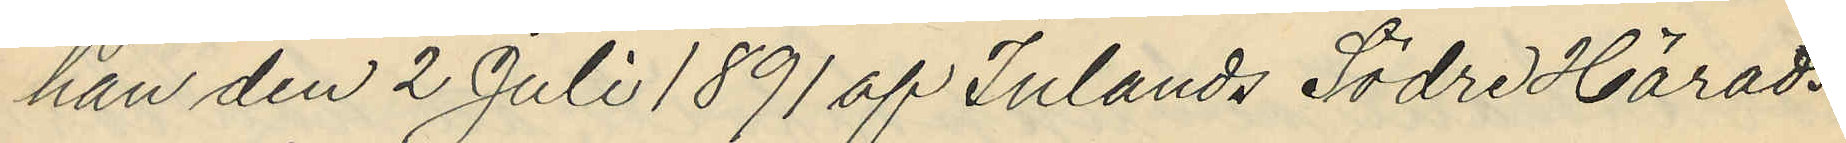han den 2 Juli 1891 af Inlands Södre Härads
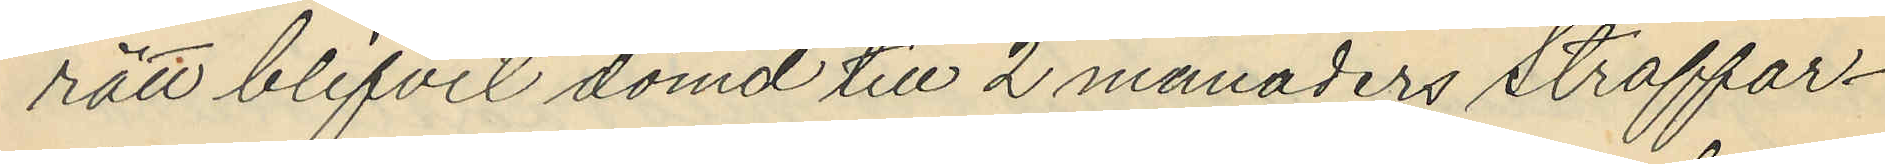rätt blifvit dömd till 2 månaders straffar¬
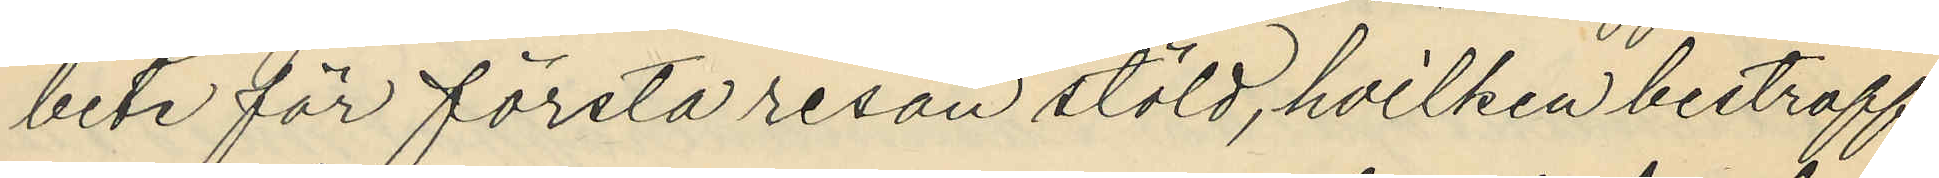bete för första resan stöld, hvilken bestraff¬
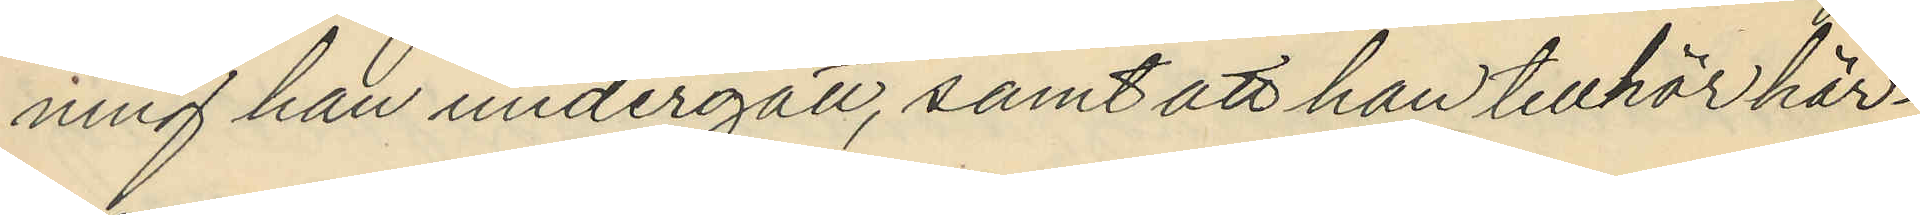ning han undergått, samt att han tillhör här¬
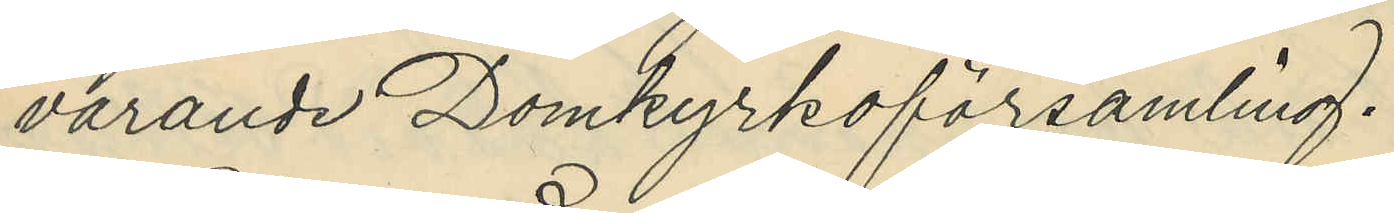varande Domkyrkoförsamling.
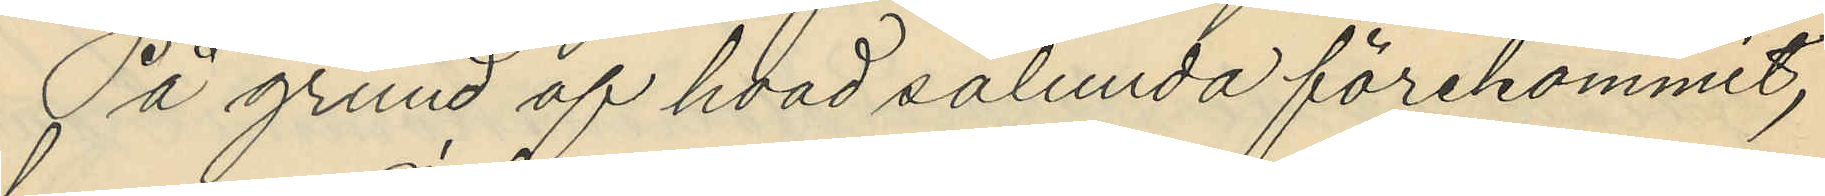På grund af hvad sålunda förekommit,
